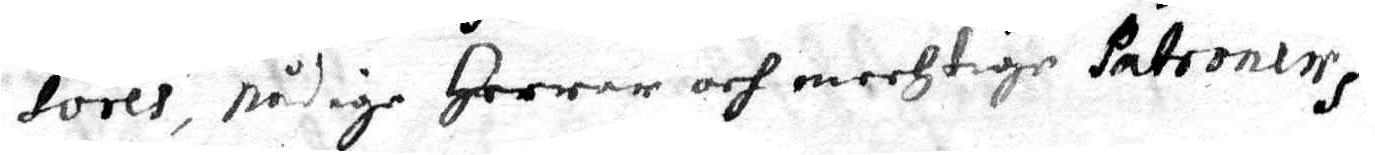sores, nådige Herrar och mechtige Patroner.
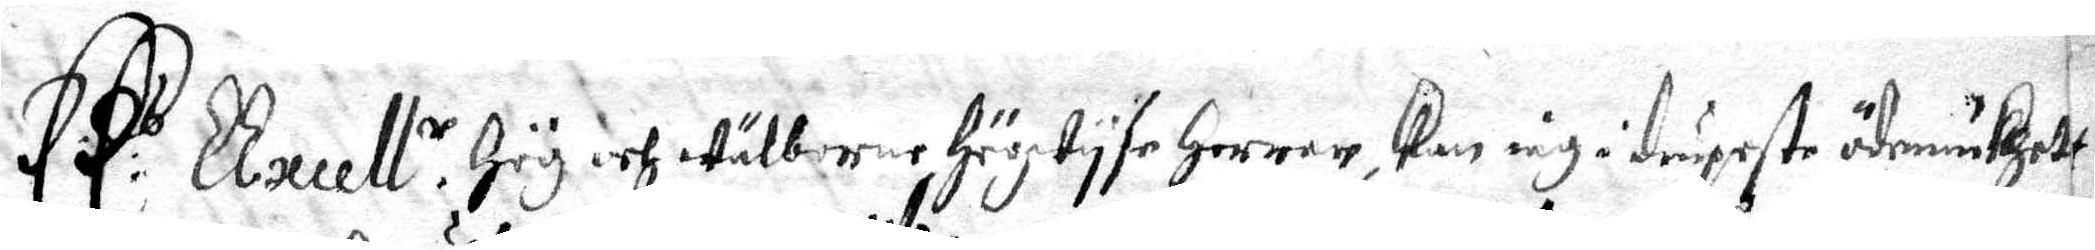Ers Excell:r Hög och Wälborne högwyse Herrar, Kan iag i diupeste ödmiukhett,
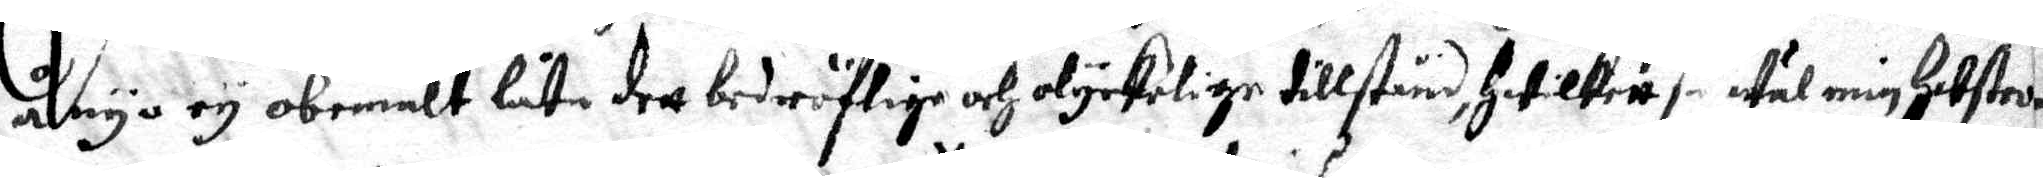ånyo ey obemält låta dett bedröflige och olyckelige tillstånd, hwilkett så Wäl min hustro
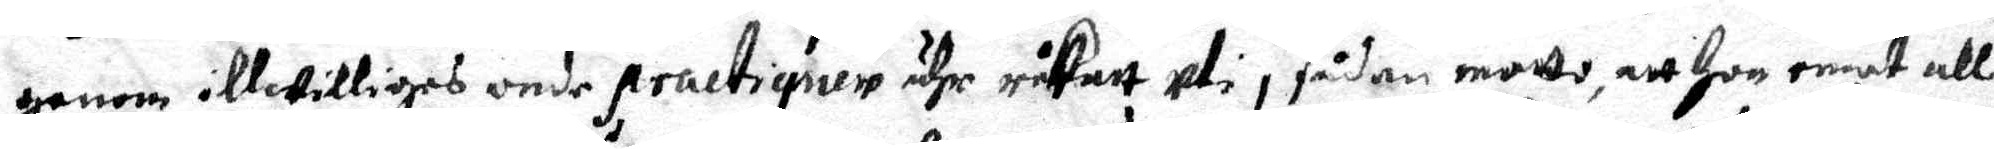genom illwilliges onde practiqner ähr råkatt uti i sådan motto, att hon emot all
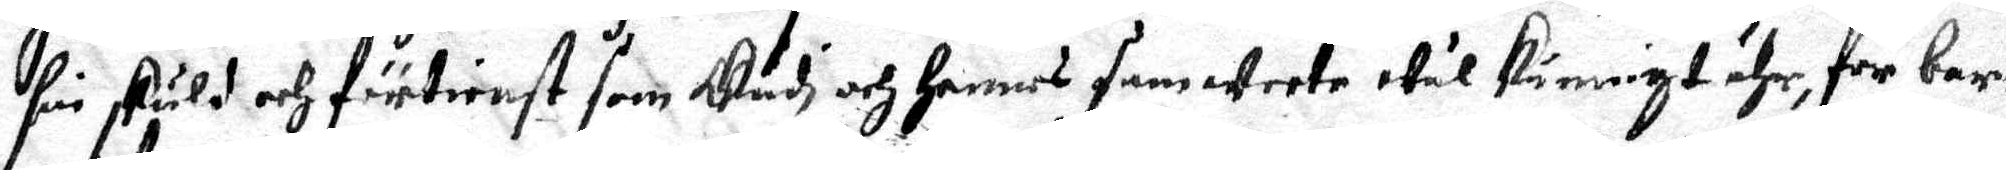sin skuld och förtienst som Gudi och hennes sam weete wäl kunnigt ähr, för bar¬
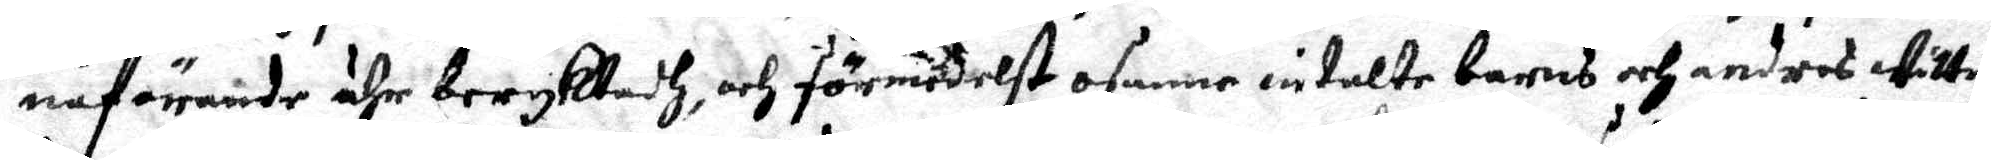naförande ähr beryktadh, och förmedelst osanne intalte barns och andres wittne
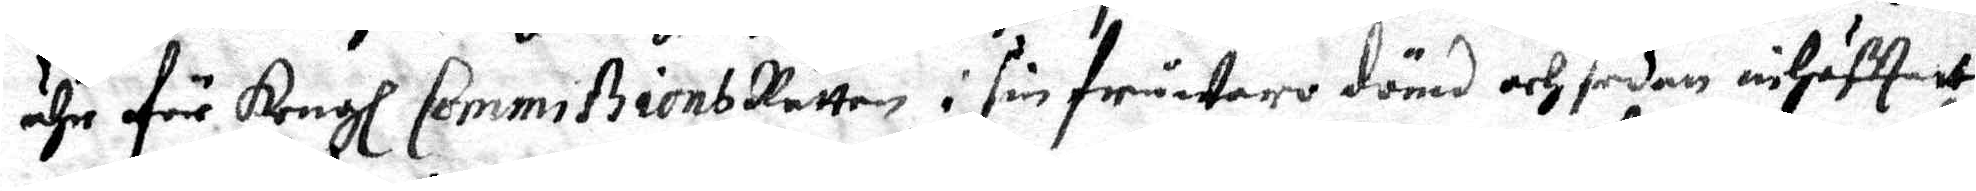ähr för Kongl. Commißions Rätten i sin fråwaro dömd och sedan inhäfftatt
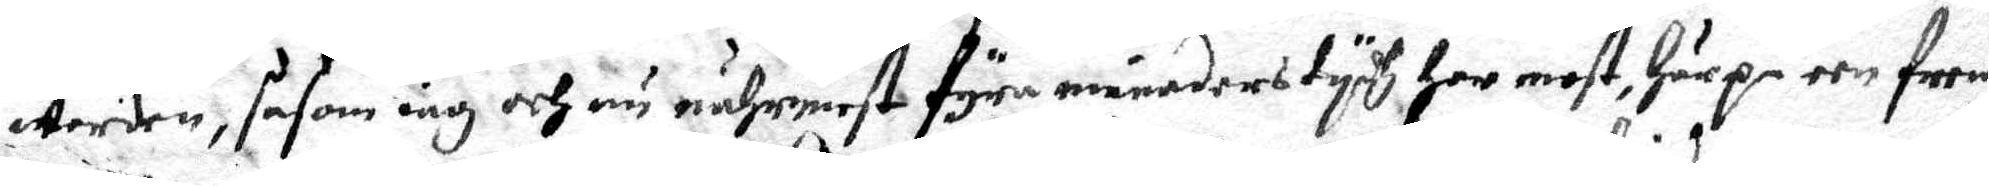Worden, såsom iag och nu nährmest fyra månaders tydh har most, här på een fre¬m
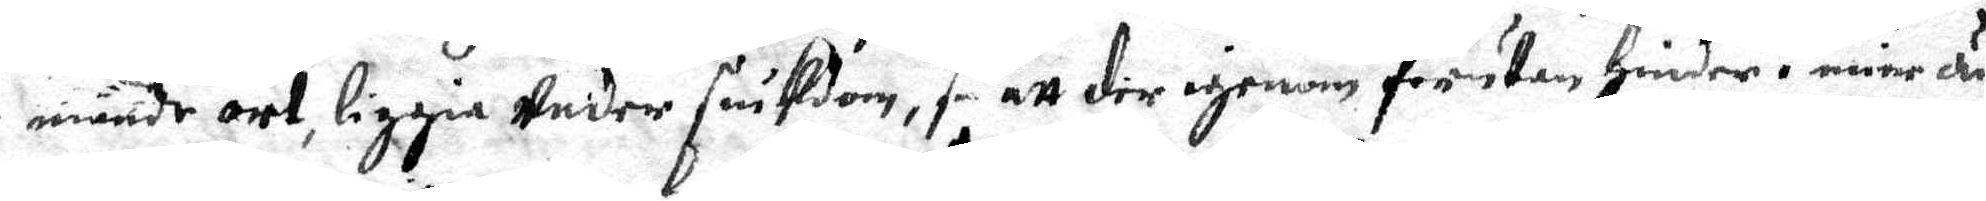mande ort, liggia Under siußdom, så att der igenom förutan hinder i mine äm¬
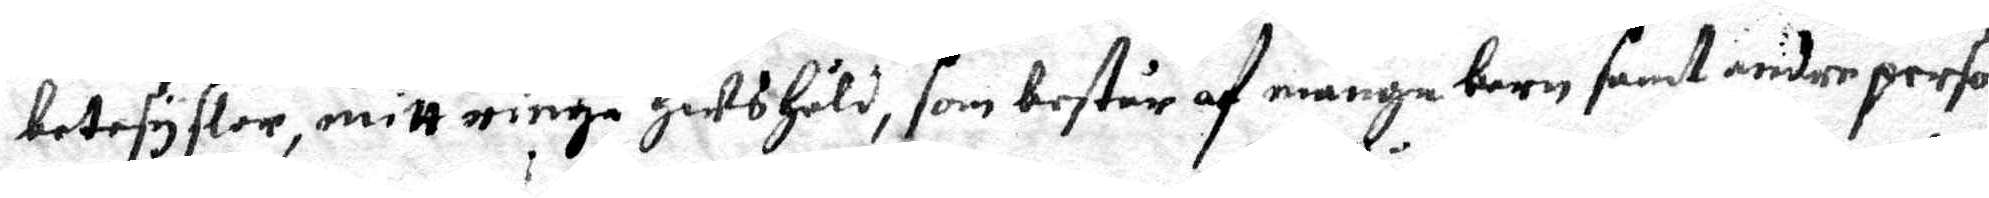betesyslor, mitt ringa Hushåld, som består af många barn samt andre person¬
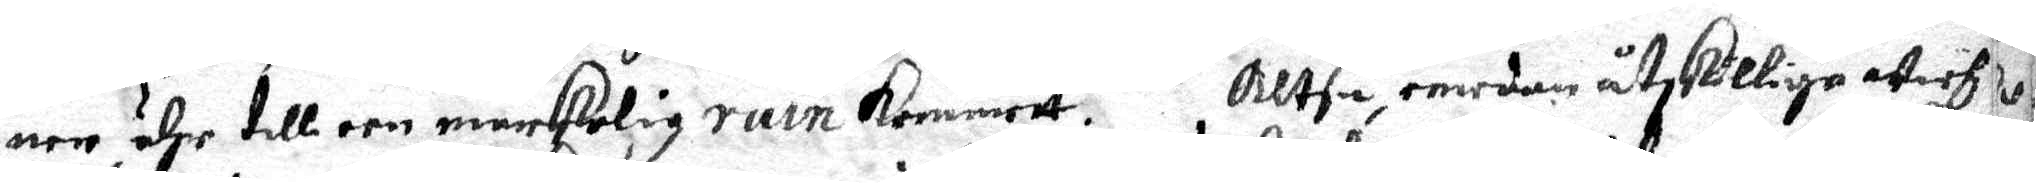ner, ähr till een märkrlig ruin kommett. Altså emedan åtskillige wich¬
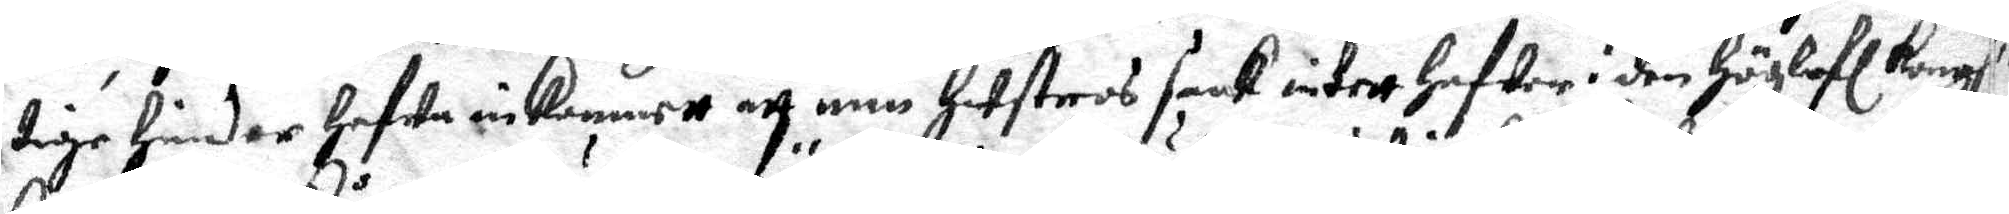tige hinder hafwa inkommett och min hustros saak intett hafwer i den Höglofl. Kongl.
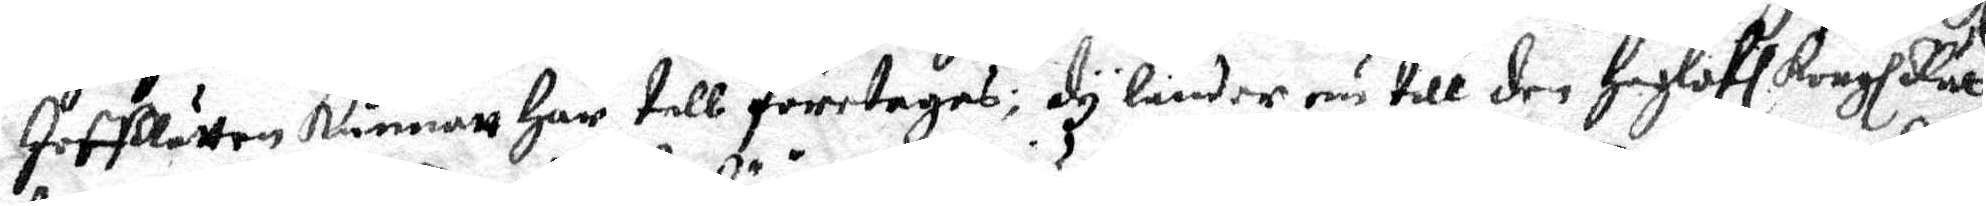Hoffrätten kunnatt här till företagas; Dy länder nu till den Höglofl. Kongl: Rät¬
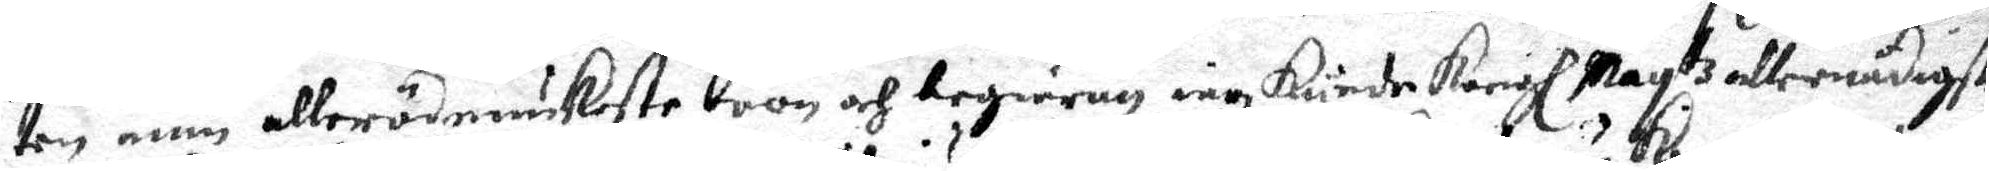ten min allerödmiukaste böön och begiäran iag Kunde Kongl. Mayj:ttz allernådigste
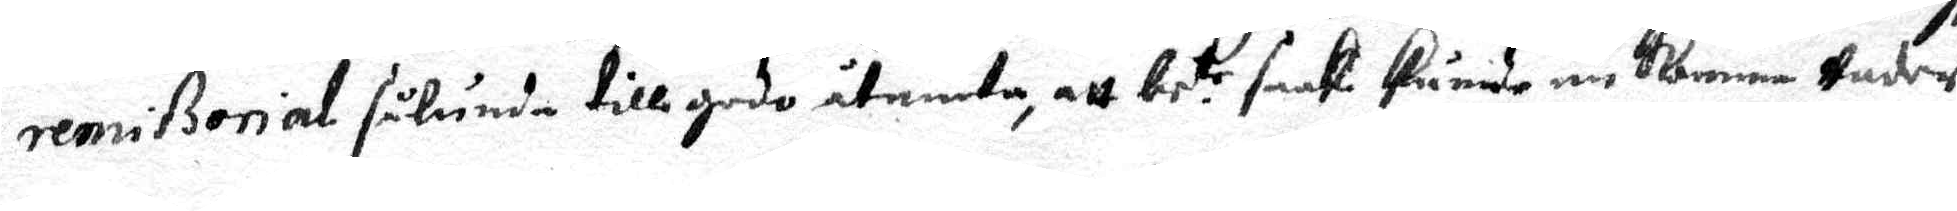remißorial sålunda till godo åtniuta, att be.te saak kunde nu Komma Under
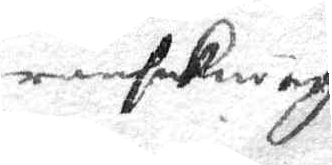ransaKning
